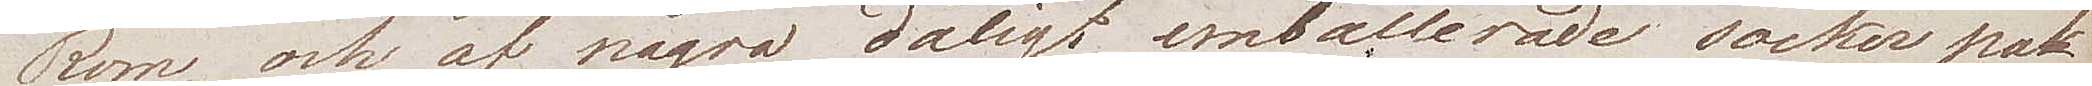Rom, och af några dåligt emballerade sockerpa¬
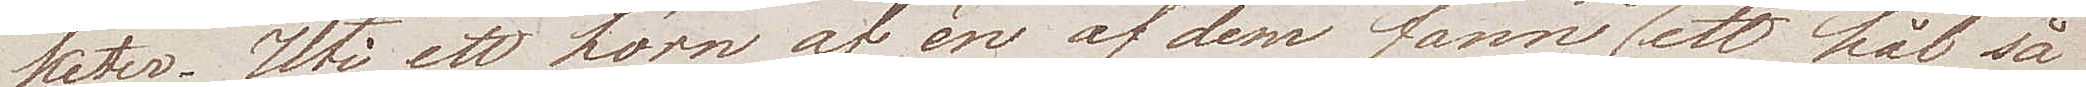keter. Uti ett hörn af en af dem fann jag ett hål så
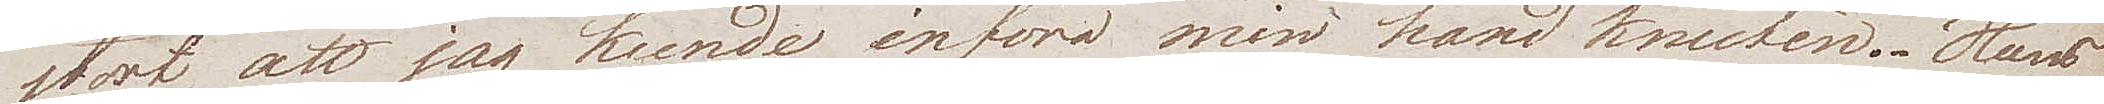stort att jag kunde införa min hand knuten. Hans
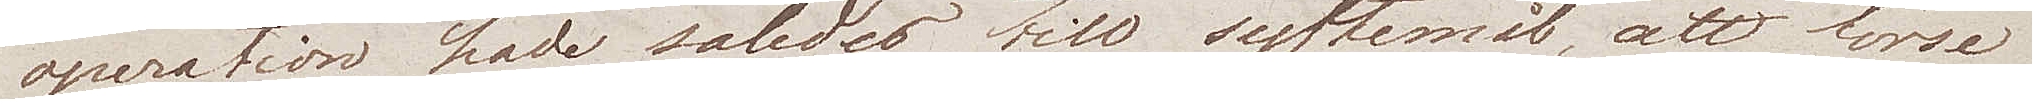operation hade således till syftemål, att förse
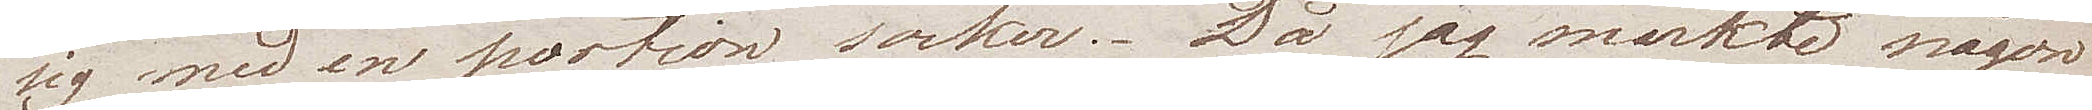sig med en portion socker. Då jag märkte någon¬
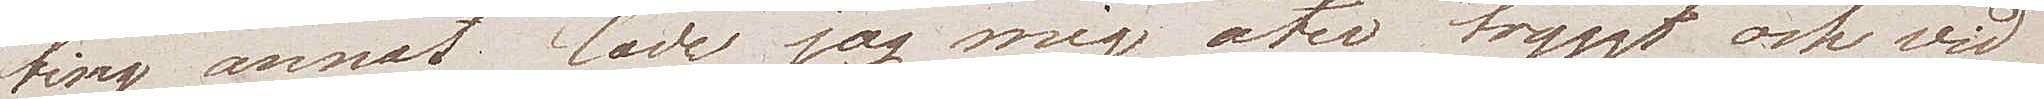ting annat lade jag mig åter tryggt och vid
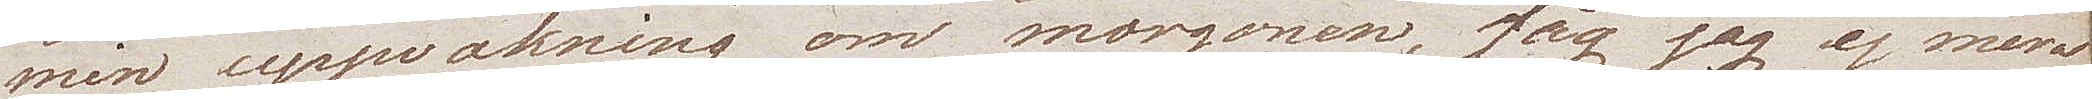min uppvakning om morgonen, såg jag ej mera
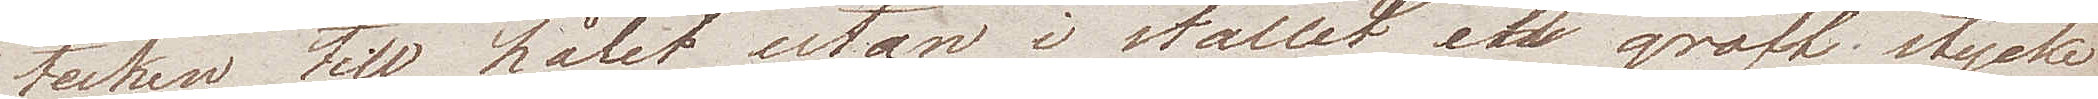tecken till hålet utan i stället ett groft stycke
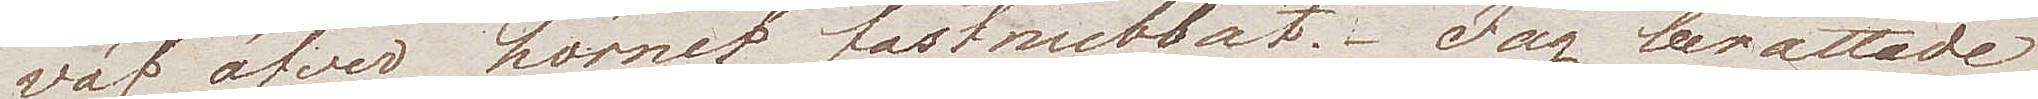väf öfver hörnet fastnubbat. Jag berättade
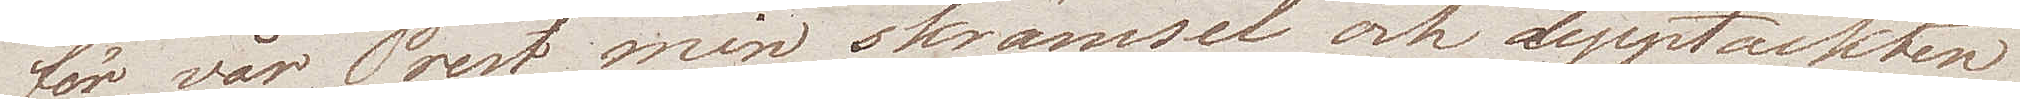för vår Prest min skrämsel och upptäckten
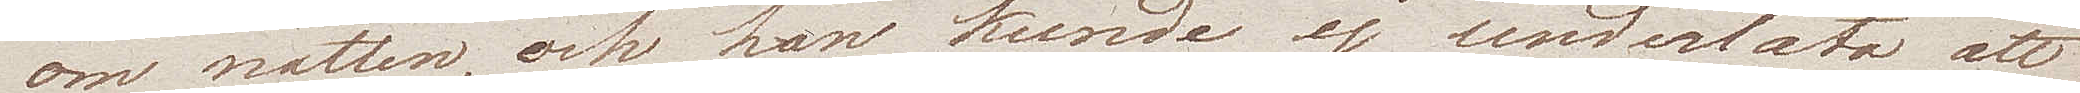om natten, och han kunde ej underlåta att
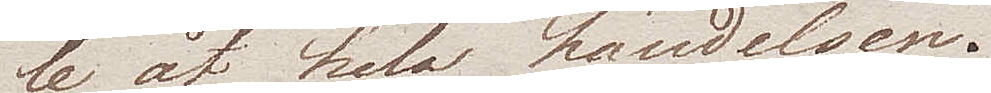le åt hela händelsen.
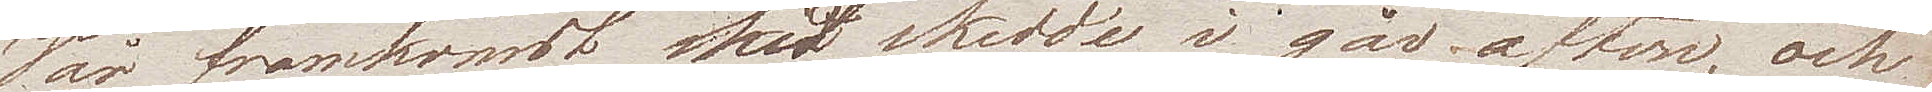Vår framkomst hit skedde i går afton, och
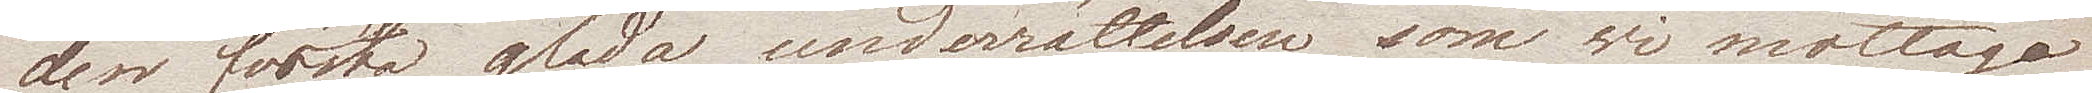den första glada underrättelsen som wi mottogo
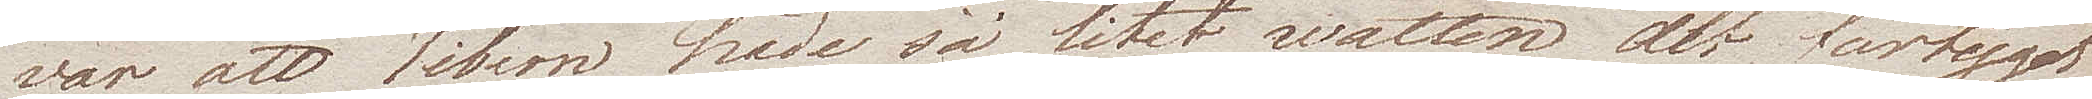var att Tibern hade så litet watten att fartyget
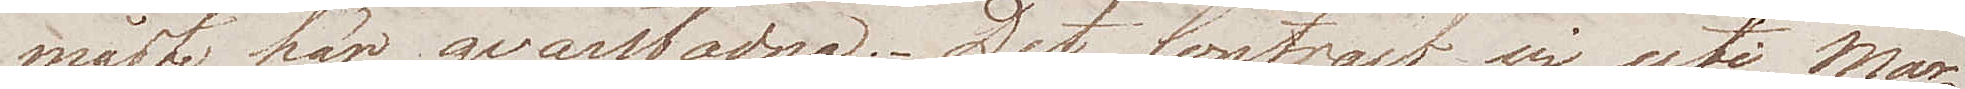måste här qvarstadna. Det Contract wi uti Mar¬
